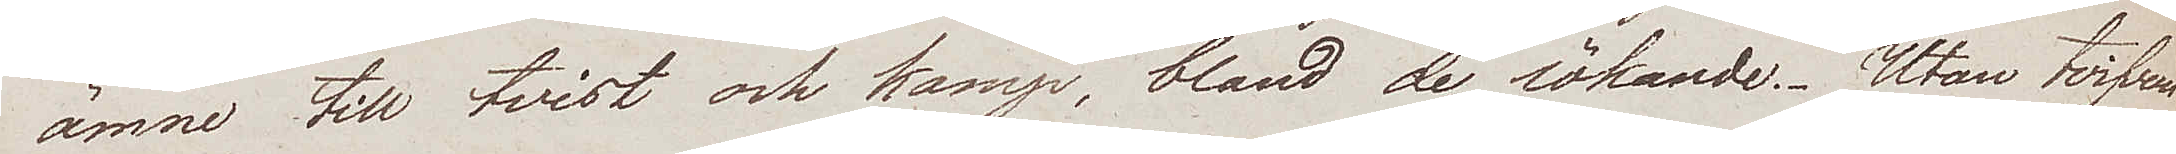ämne till tvist och kamp, bland de sökande. Utan tvifvan
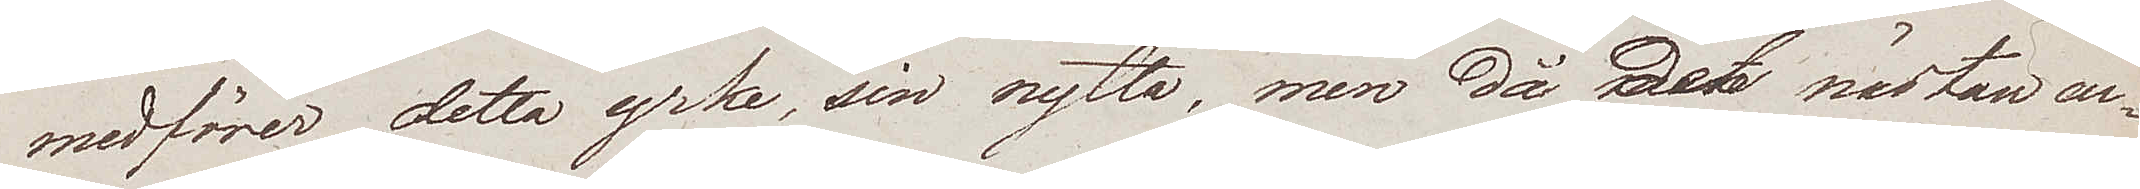medförer detta yrke, sin nytta, men då det nästan en¬
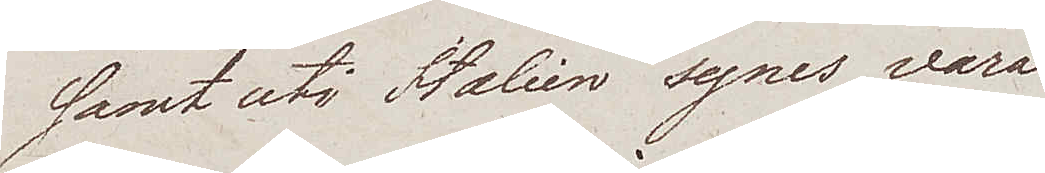samt uti Italien synes vara
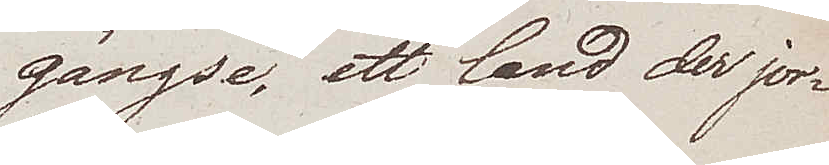gängse, ett land der jor¬
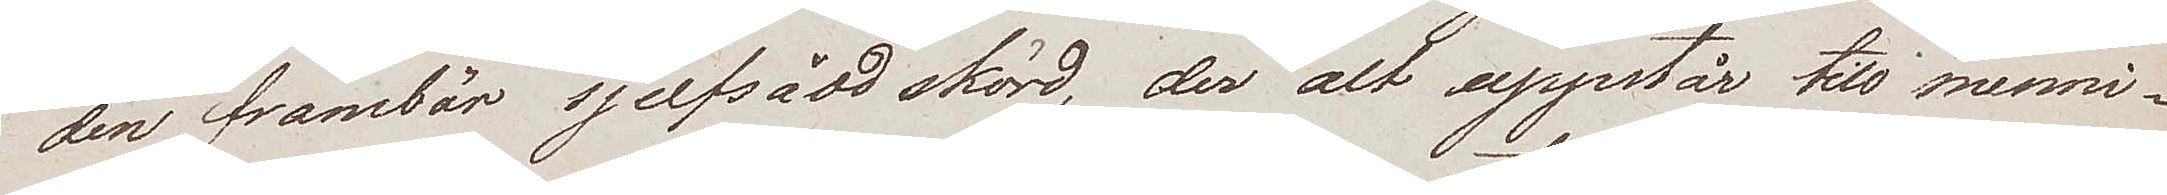den frambär sjelfsådd skörd, der alt uppstår till menni¬
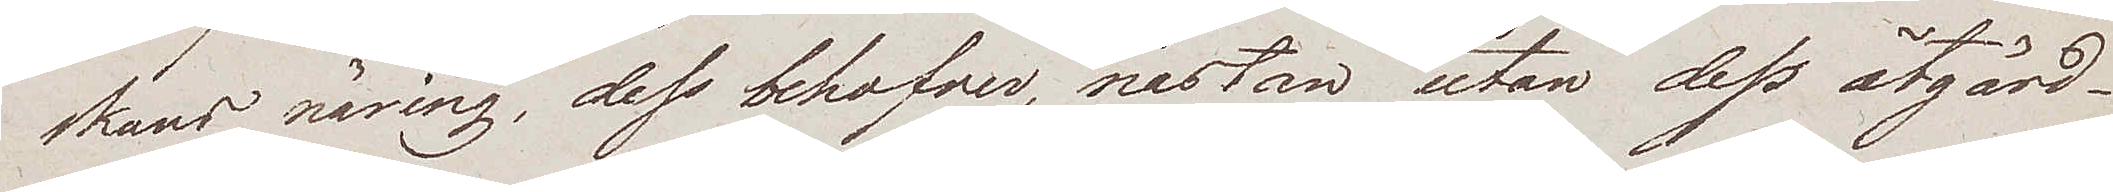skans näring, dess behofver, nästan utan dess åtgärd -
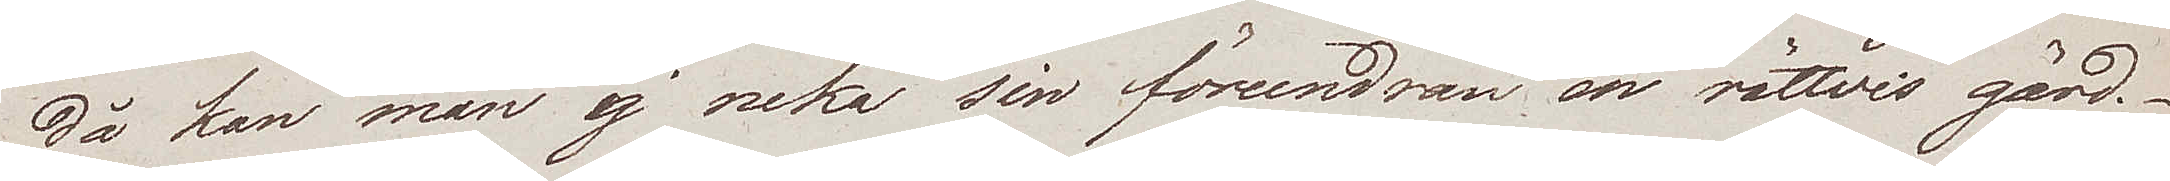då kan man ej neka sin förundran en rättvis gärd.
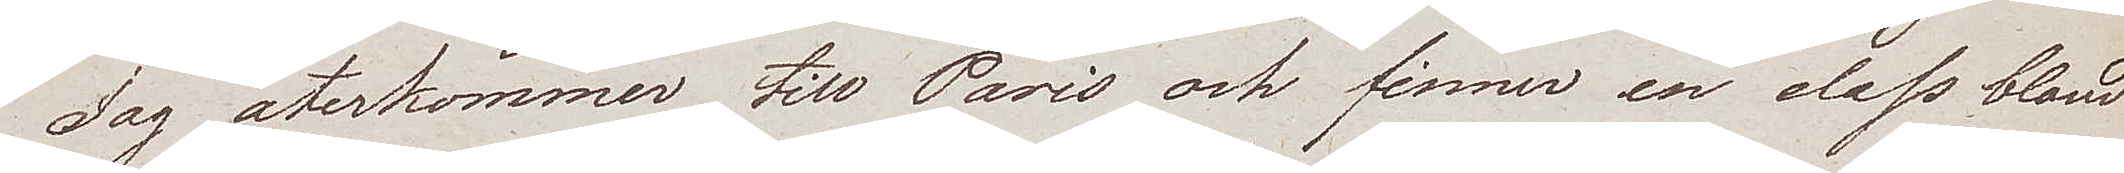Jag återkommer till Paris och finner en class bland
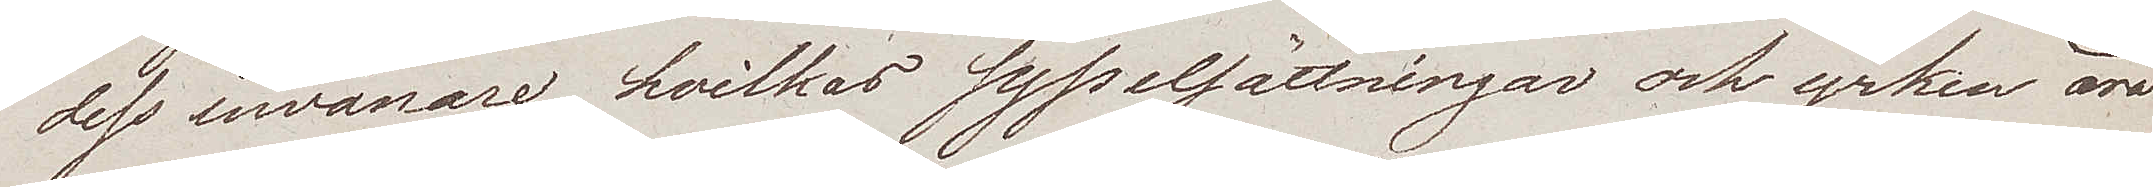dess invånare, hvilkas sysselsättningar och yrken äro
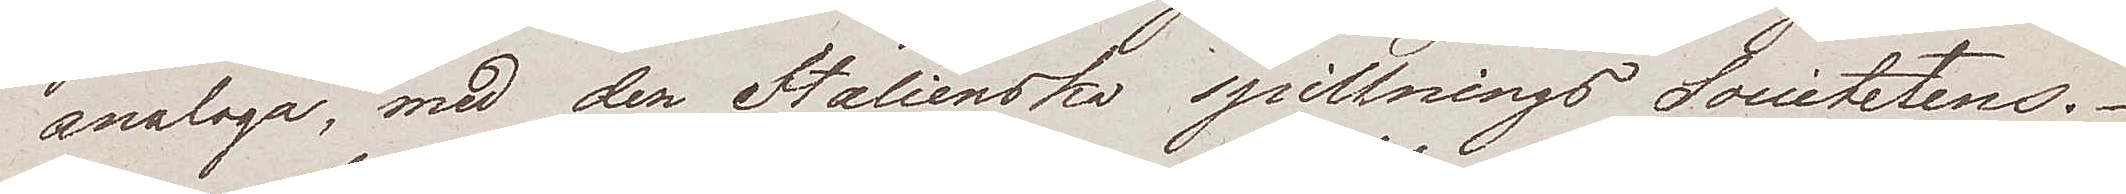analoga, med den Italienska spillnings Societetens.
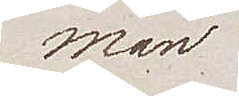Man
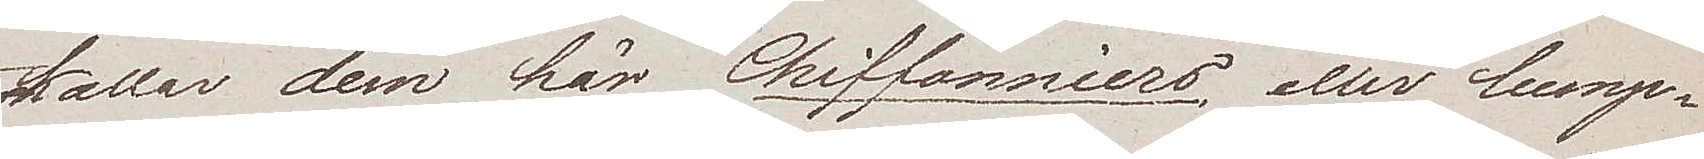kallar dem här Chiffonniers, eller lump¬
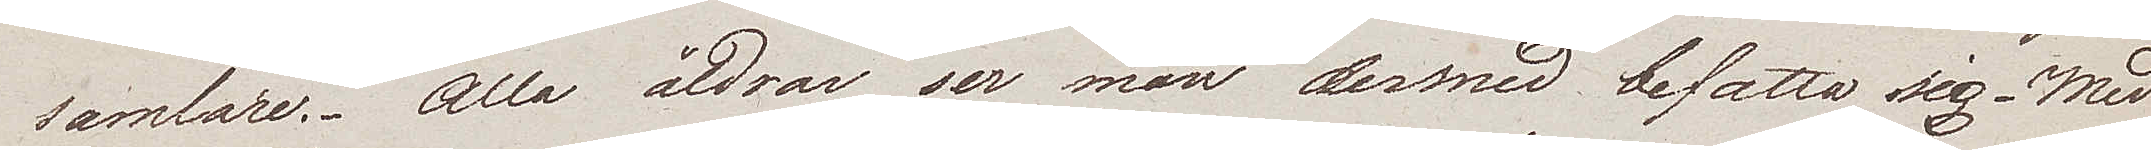samlare. Alla åldrar ser man dermed befatta sig. Med
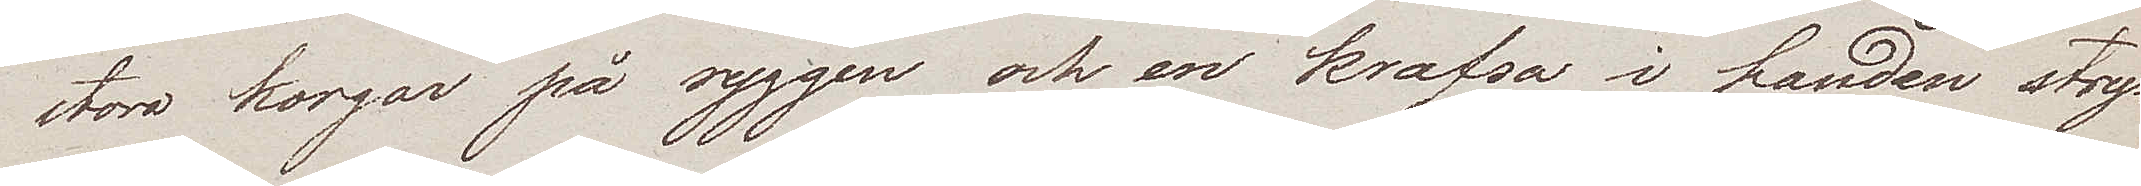stora korgar på ryggen och en krafsa i handen stry¬
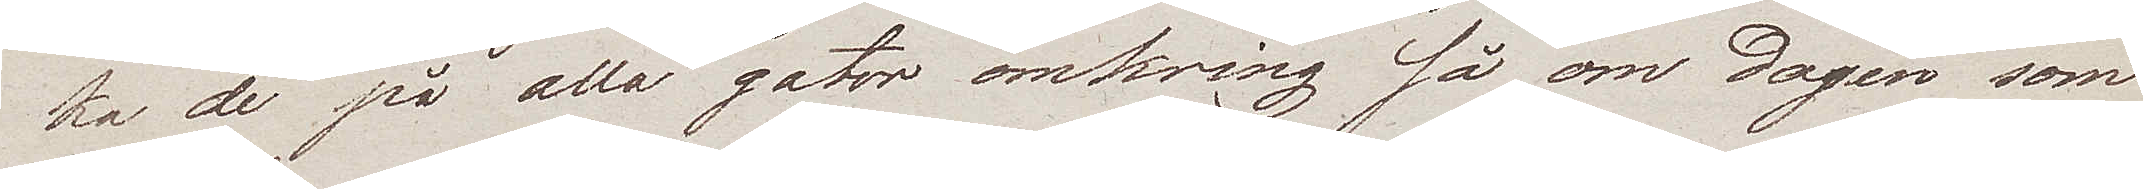ka de på alla gator omkring så om dagen som
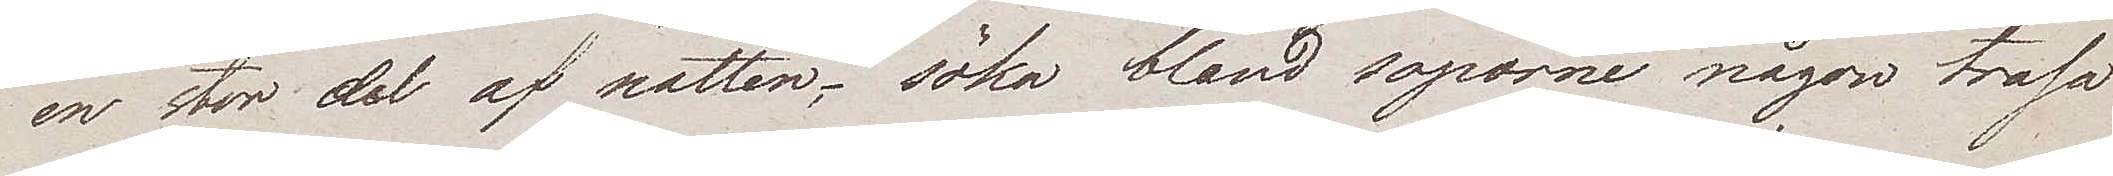en stor del af natten, – söka bland soporne någon trasa
